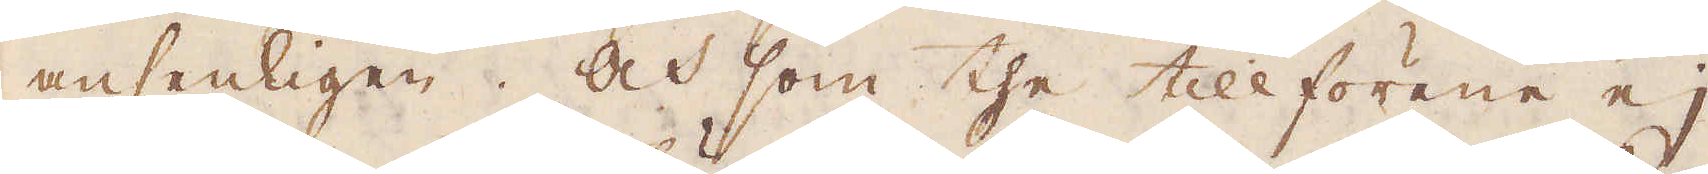ansenligen. Och som the tillförene ej
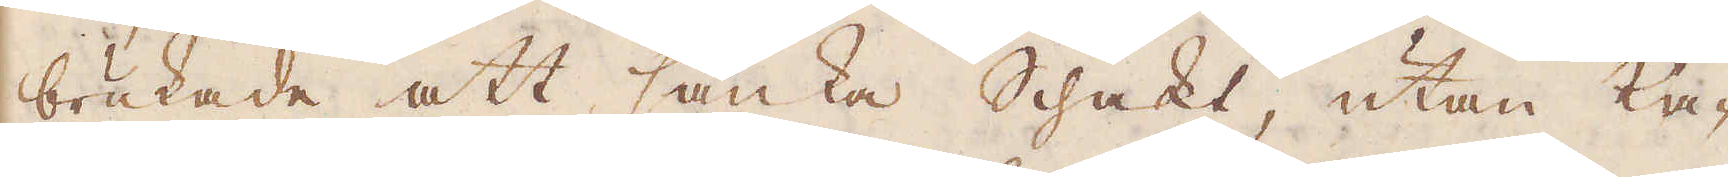brukade att sänka Schakt, utan ka-
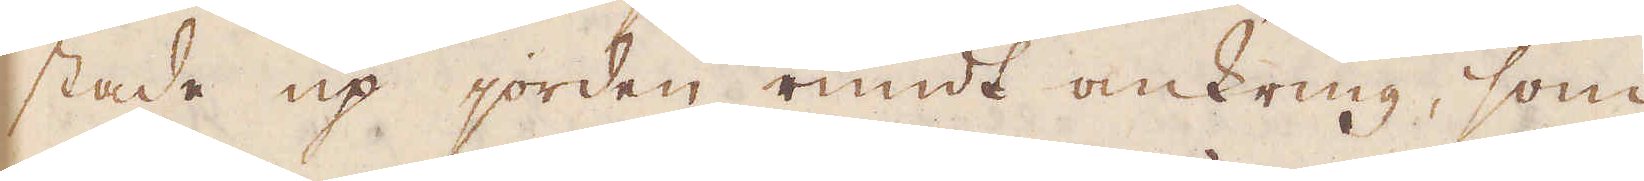stade up jorden rundt omkring, som
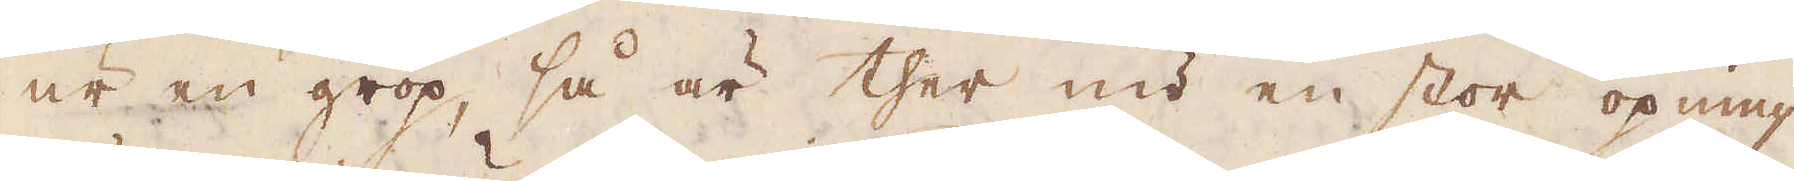ur en grop, så är ther nu en stor öpning
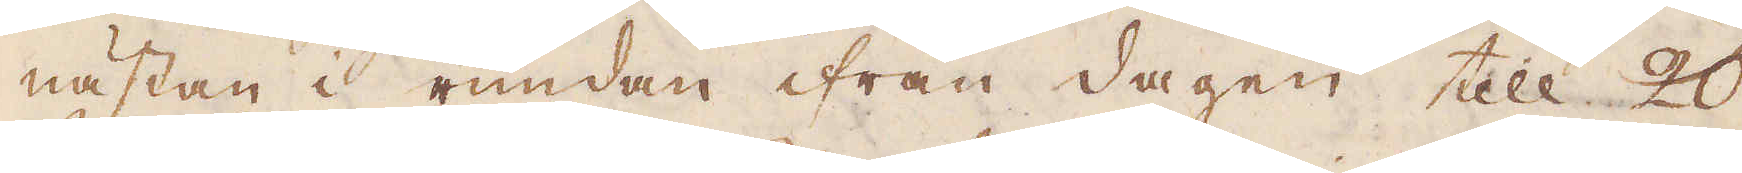nästan i rundan ifrån dagen till 20
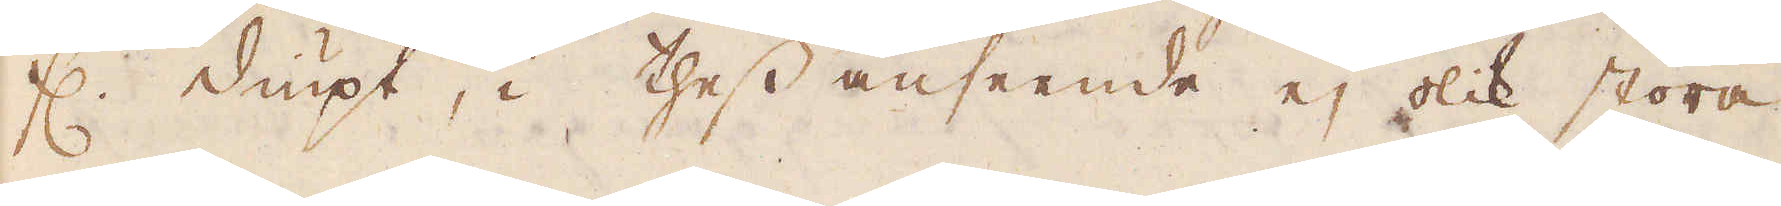f:r diupt, i thess anseende ej olik stora
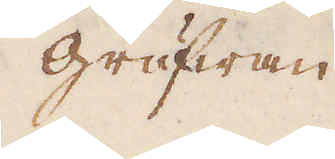grufwan
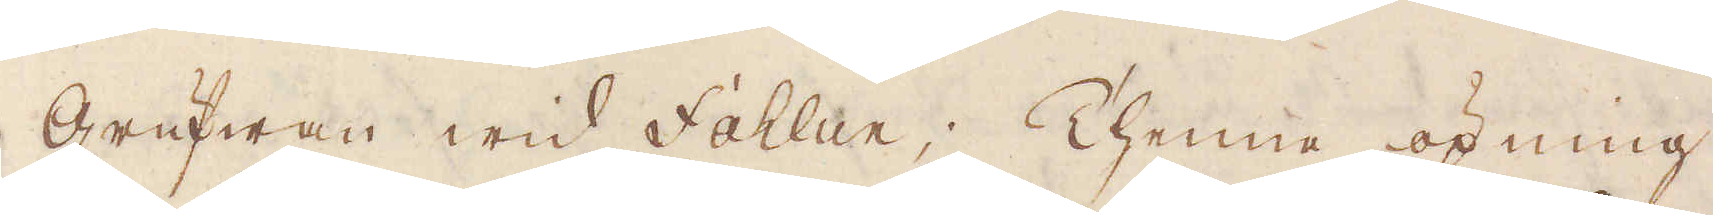grufwan wid Fahlun; Thenne öpning
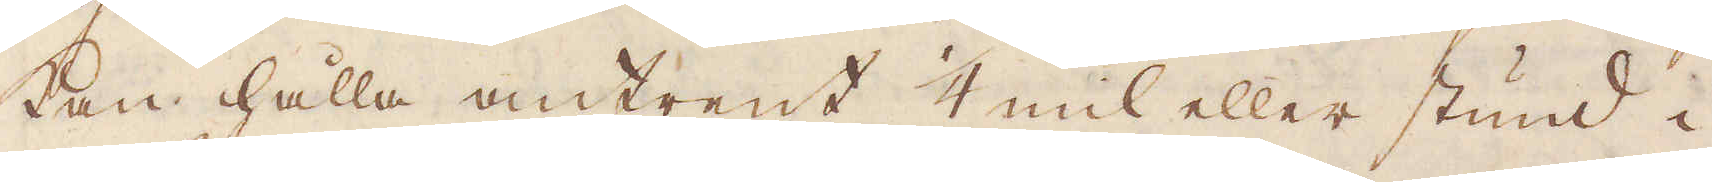kan hålla omtrent 1/4 mil eller stund i
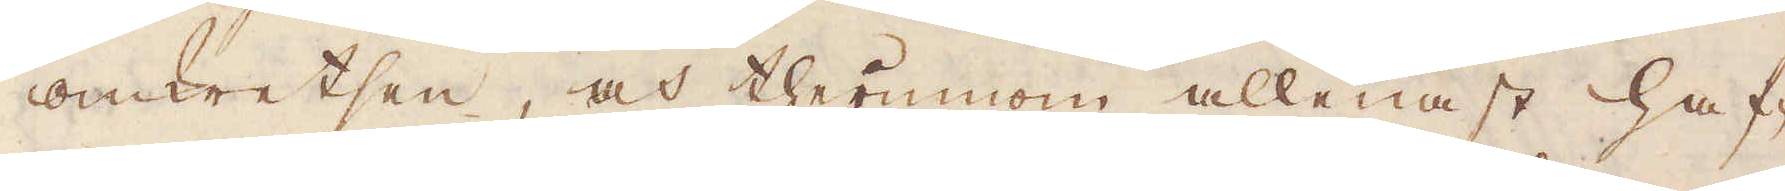omkretsen, och therinnom allenast haf-
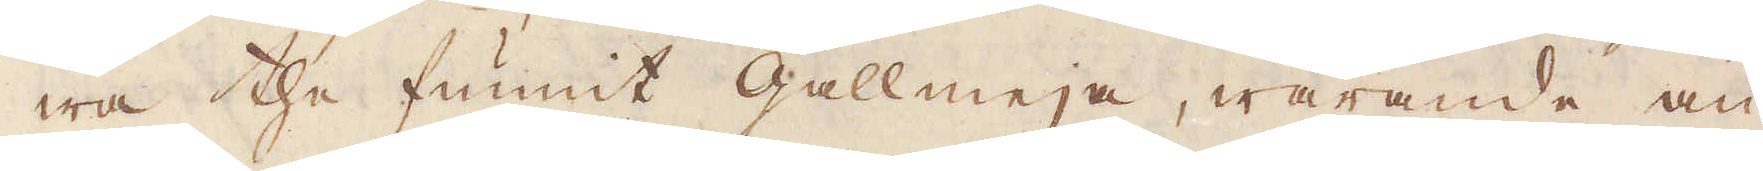wa the funnit gallmeja, warande an-
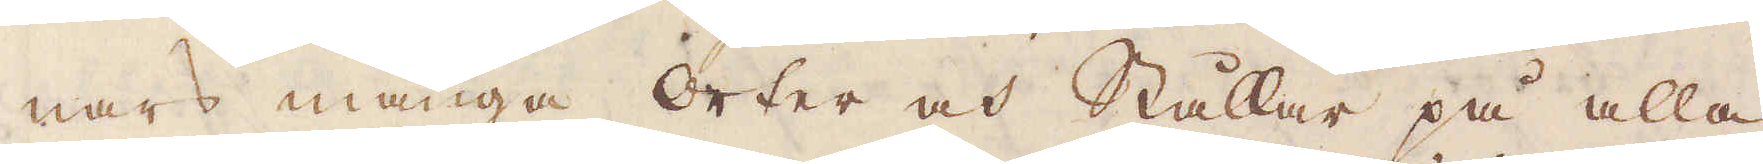nars många orter och Stållar på alla
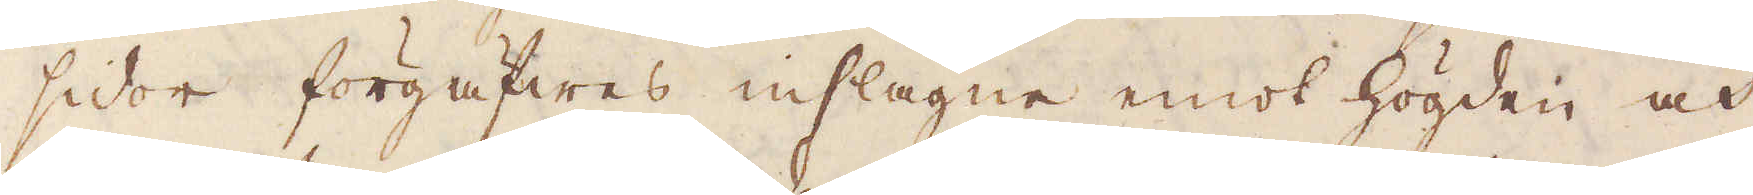sidor förgäfwes inslagne emot högden och
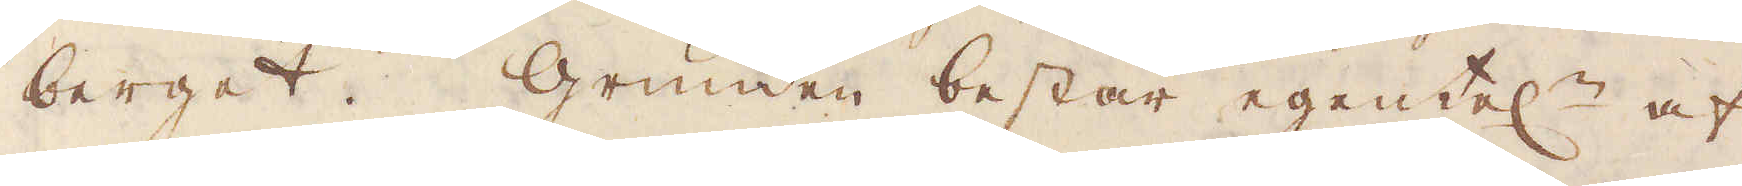berget. Grunden består egentel:n af
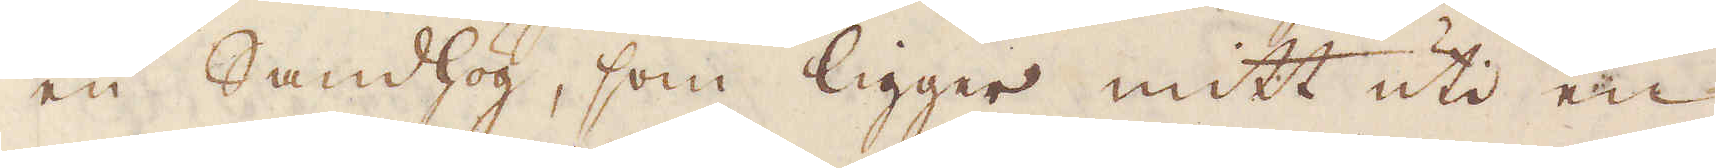en Sandhög, som ligger mitt uti en
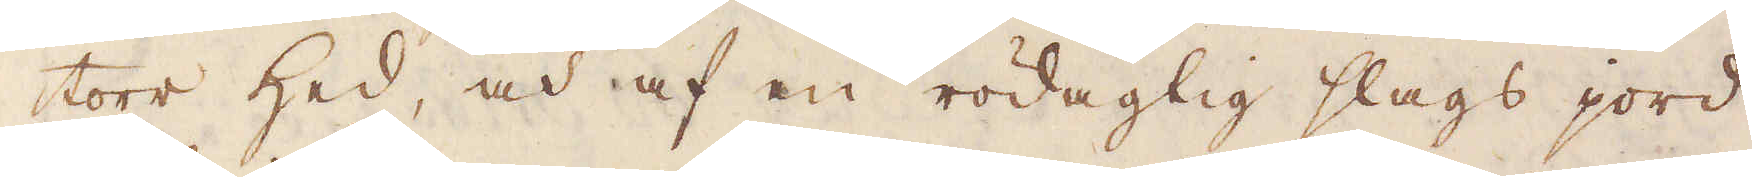torr hed, och af en rödagtig slags jord,
